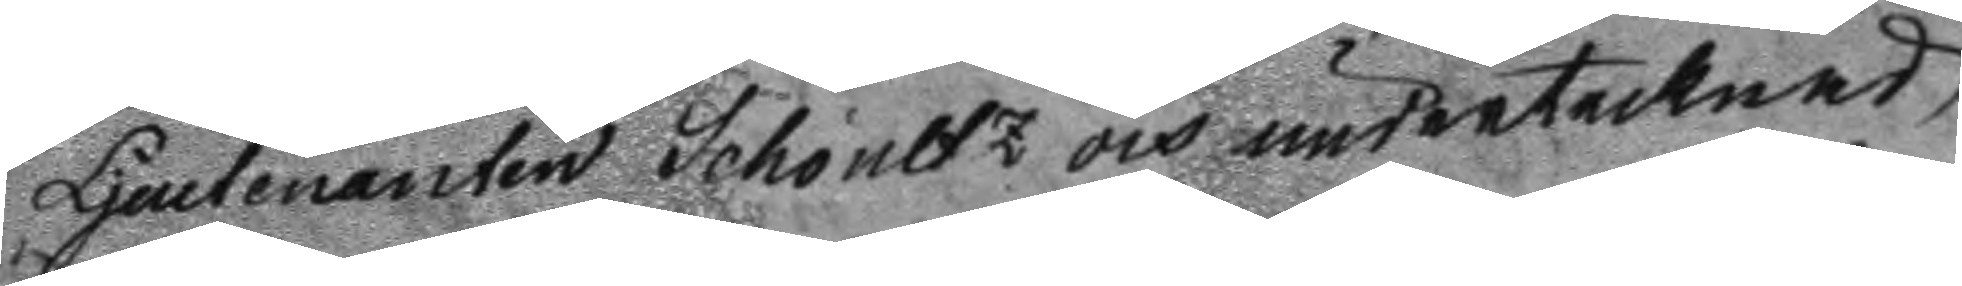Ljeutenanten Schoultz och undertecknad
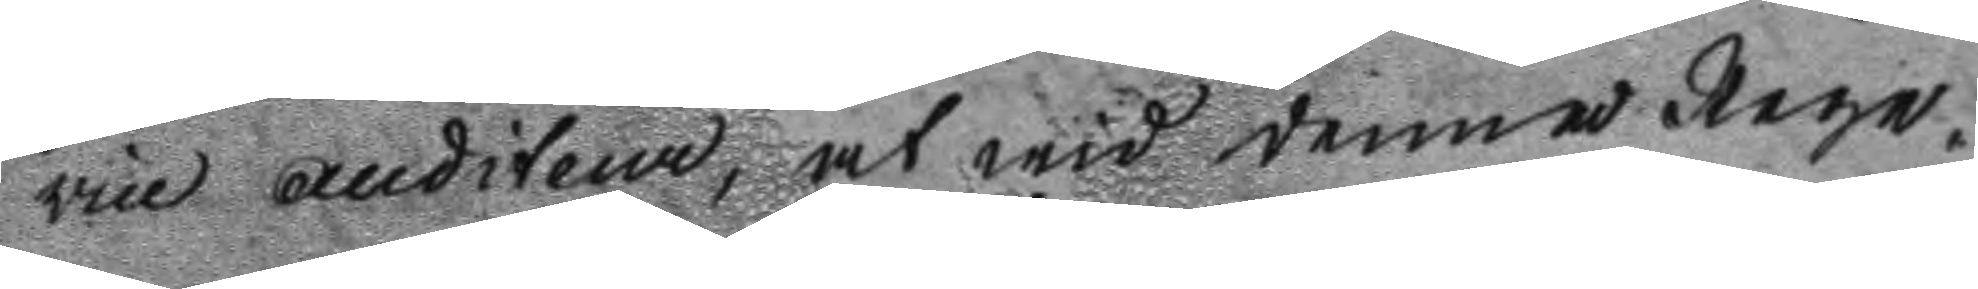vice auditeur, at wid denna Rege¬
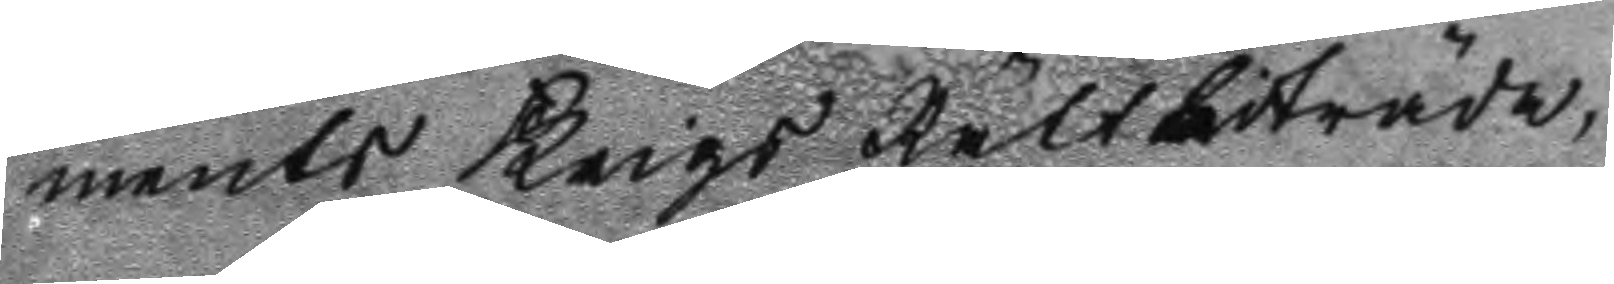ments Krigs Rätt biträda.
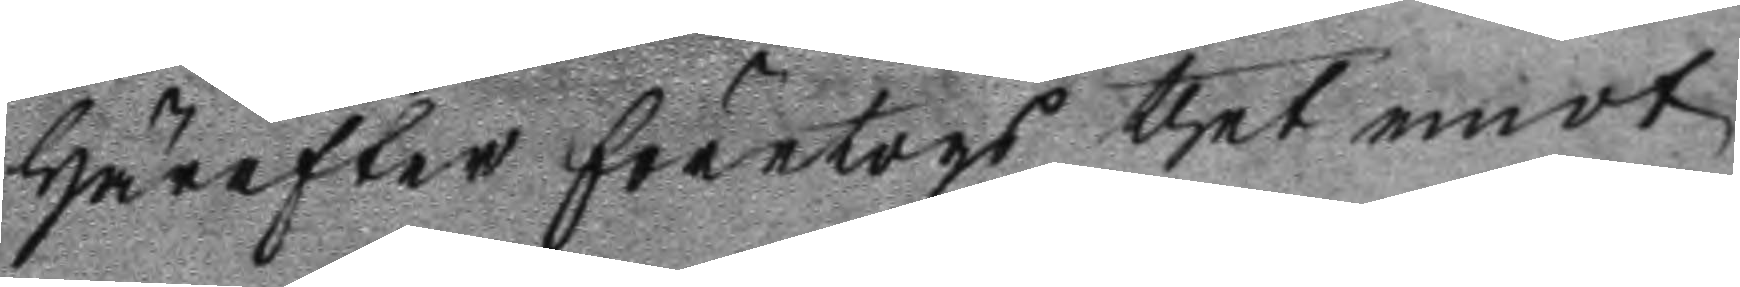Härefter företogs thet emot
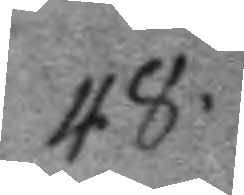48.
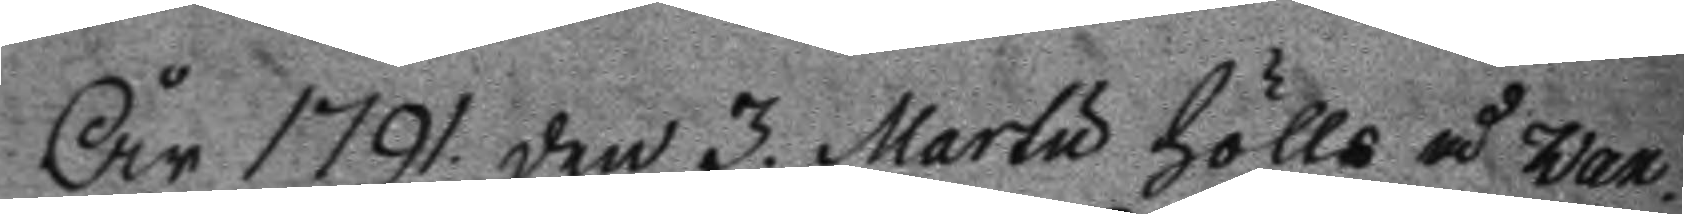År 1791 den 3. Martu hölls å Wax¬
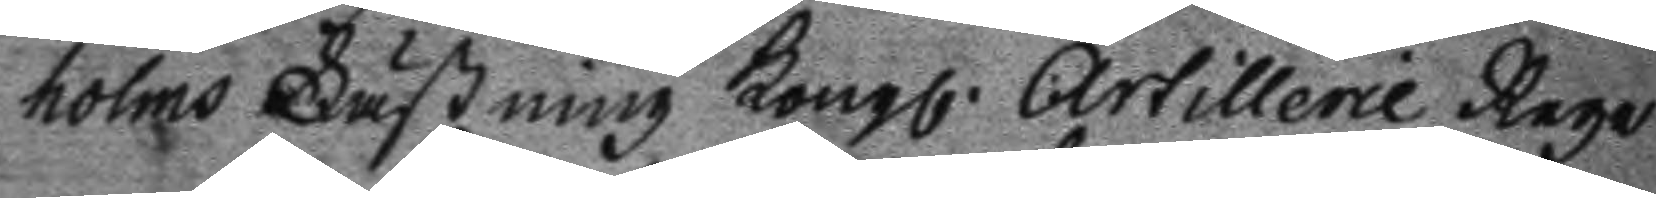holms Fästning Kongl. Artillerie Rege
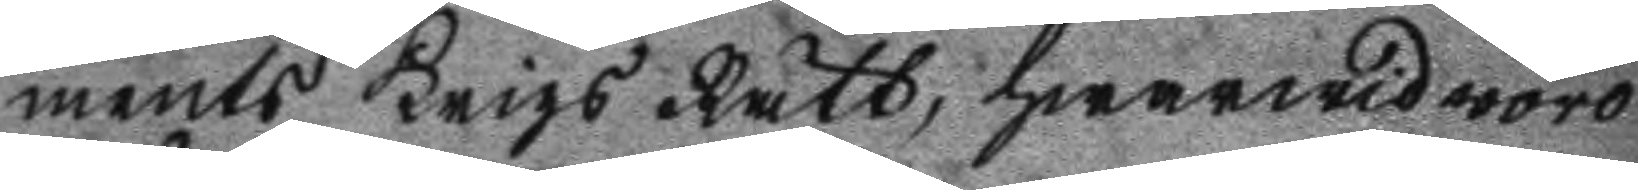ments Krigs Rätt, hwarwid woro
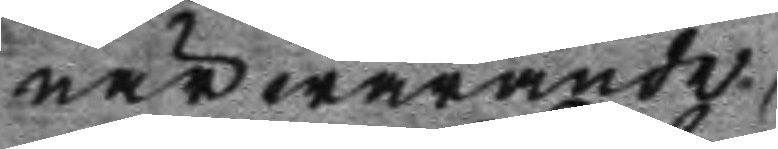närwarande.
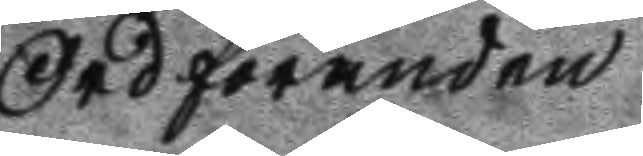Ordföranden
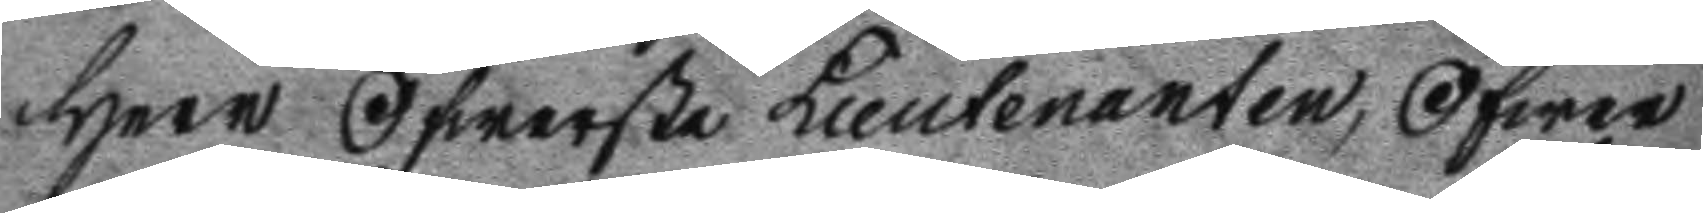Herr Öfwerste Lieutenanten, Öfwer
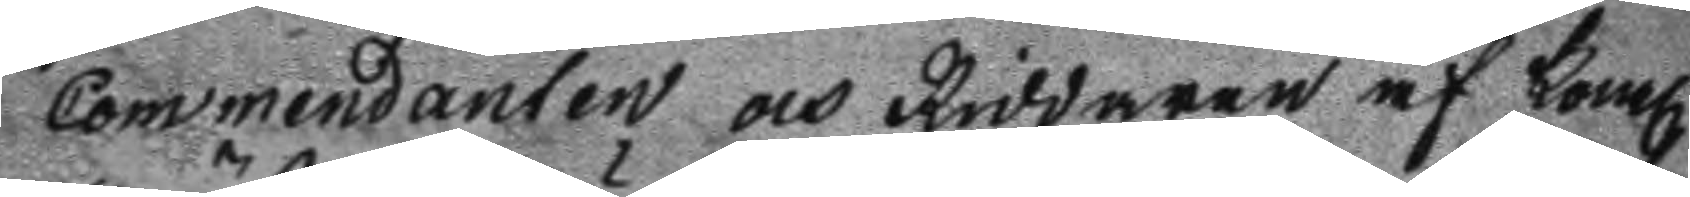Commendanten och Riddaren af Kongl.
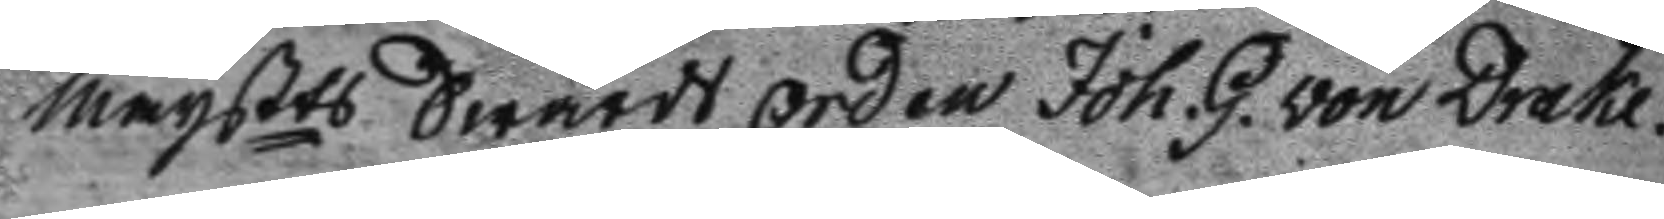Maysts Swärds orden Joh. G. von Drake.
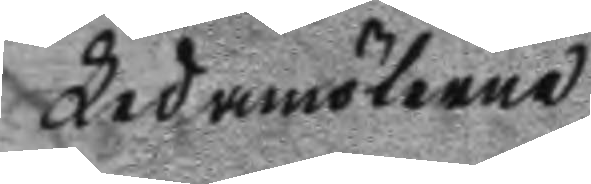Ledamöterne
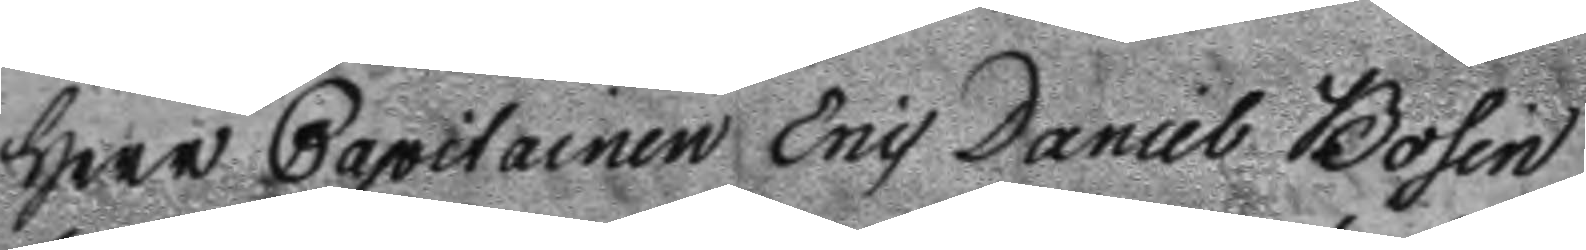Herr Capitainen Eric Daniel Bosin
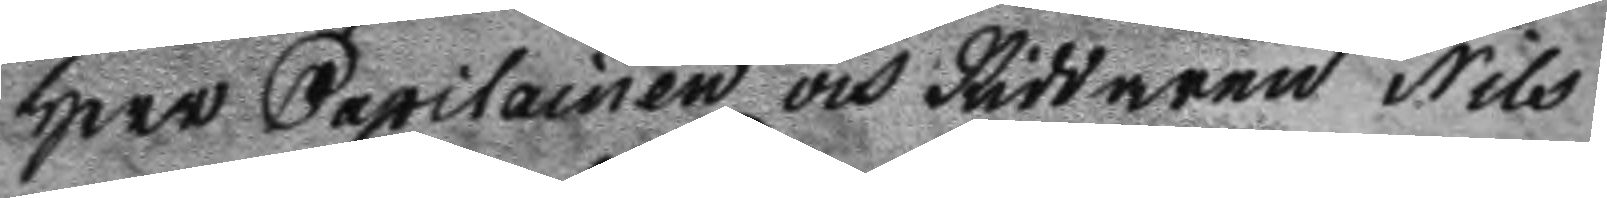Herr Capitainen och Riddaren Nils
